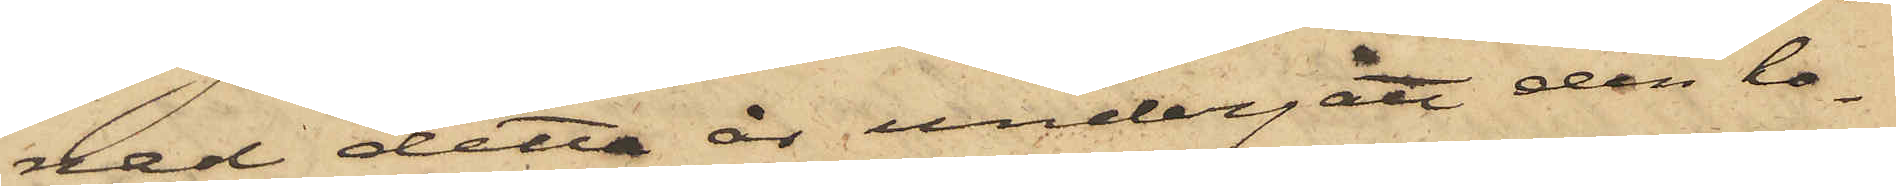nad detta år undergått den ho¬
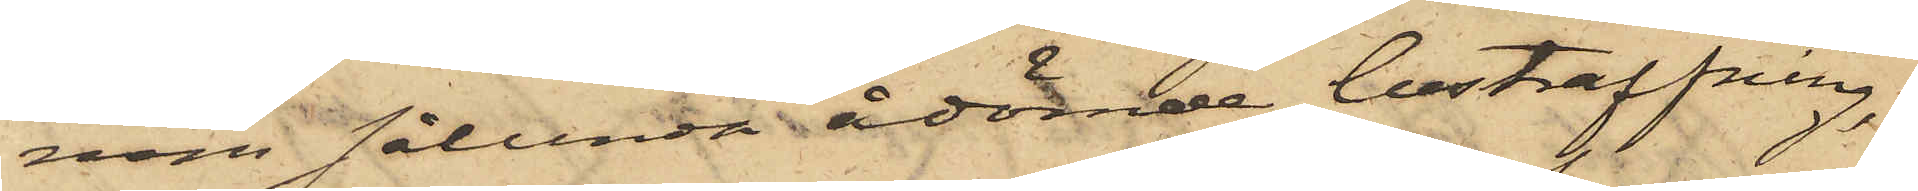nom sålunda ådömde bestraffning,
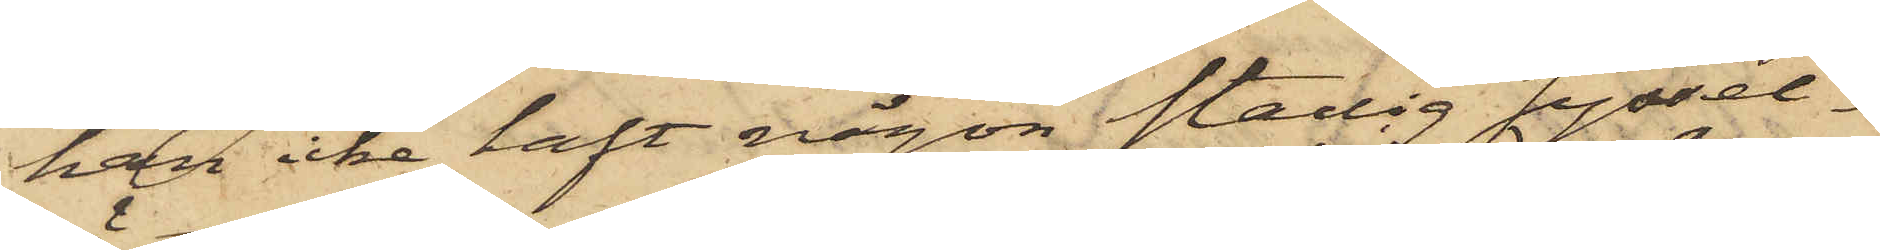han icke haft någon stadig syssel¬
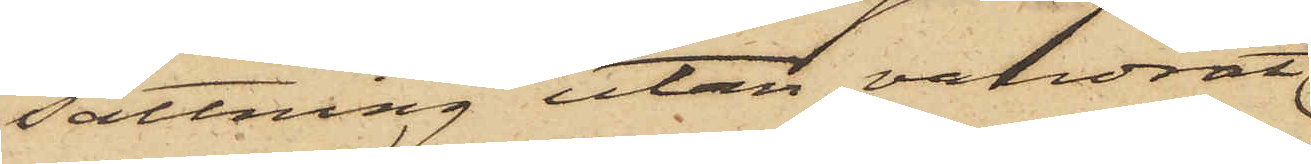sättning utan vandrat
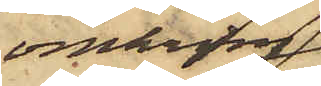omkring
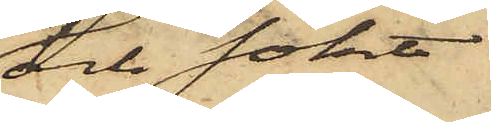och sökt
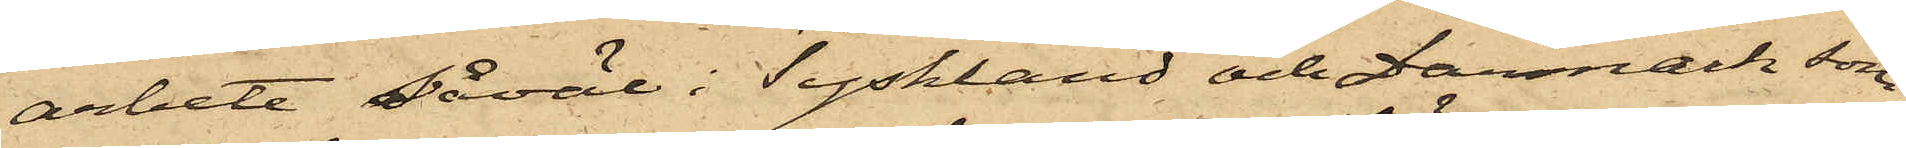arbete såväl i Tyskland och Danmark som
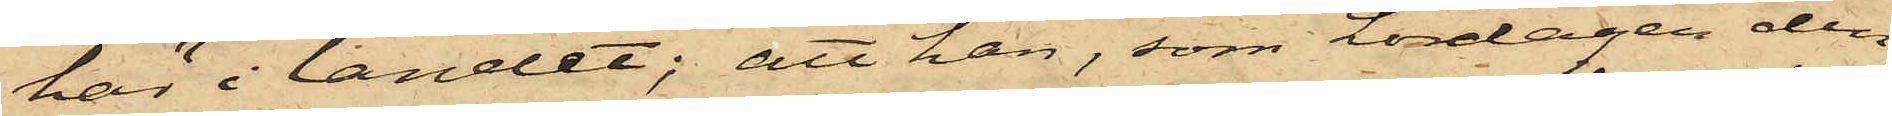här i landet; att han, som Lördagen den
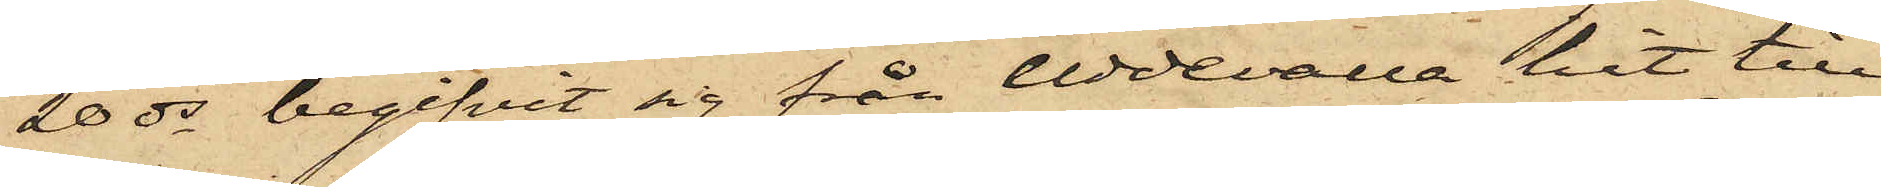20 ds begifvit sig från Uddevalla hit till
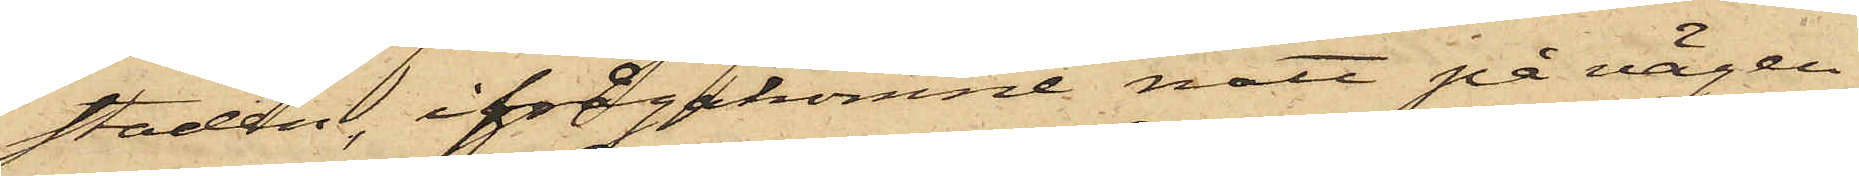staden, ifrågakomne natt på vägen
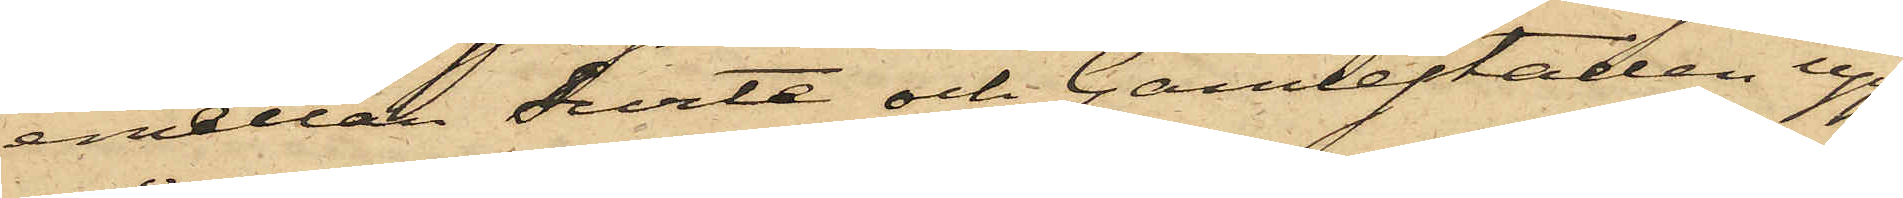emellan Surte och Gamlestaden upp¬
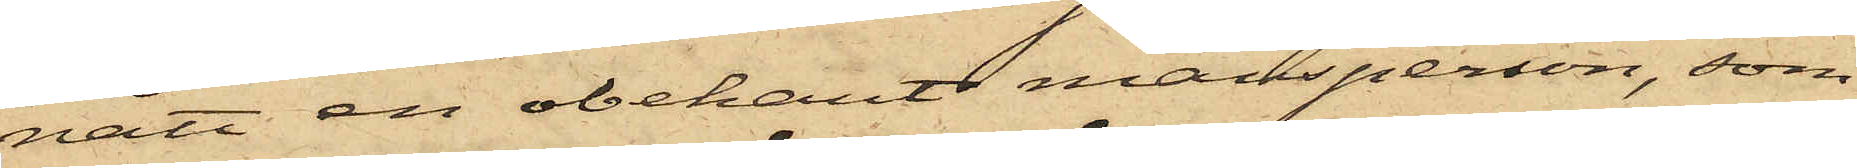nått en obekant mansperson, som
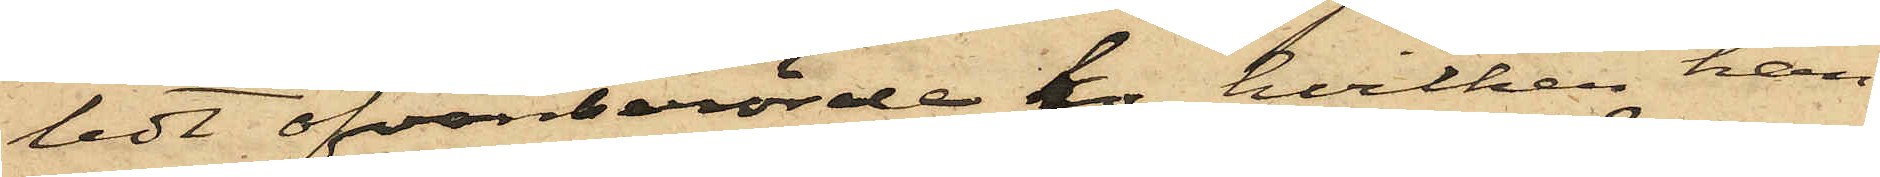ledt ofvanberörde ko, hvilken han
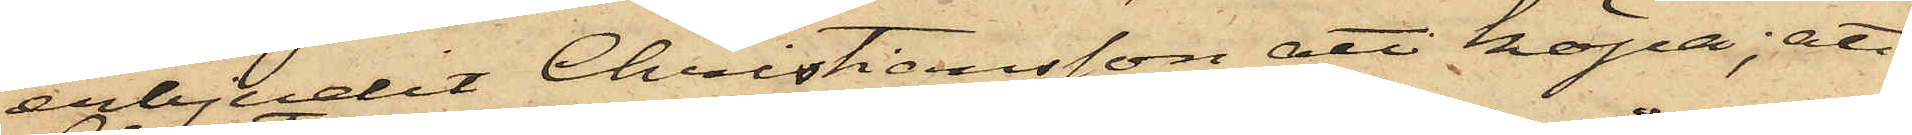erbjudit Christiansson att köpa; att
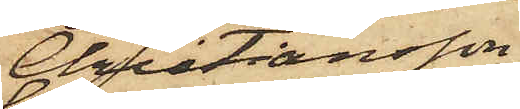Christiansson
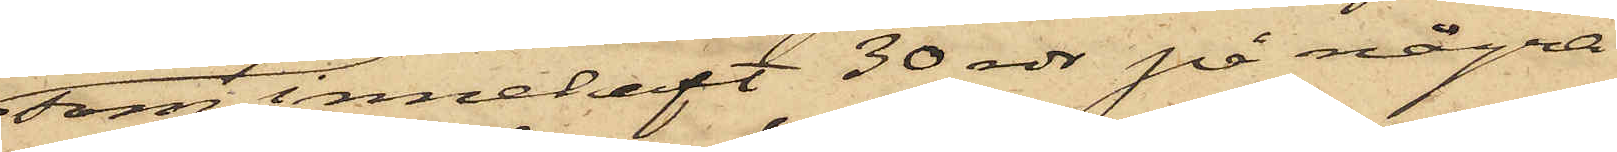som innehaft 30 rdr på några
